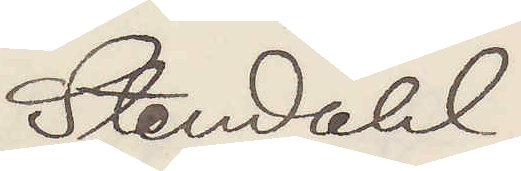Stendahl
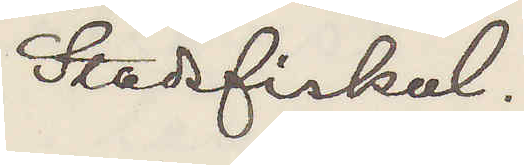Stadsfiskal.
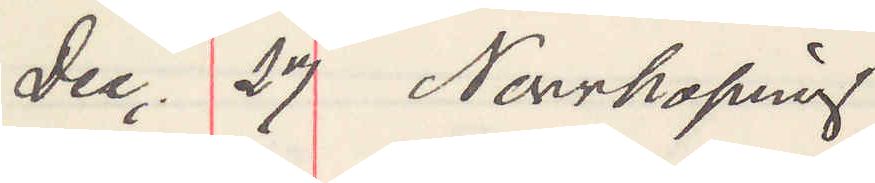Dec. 27 Norrköping
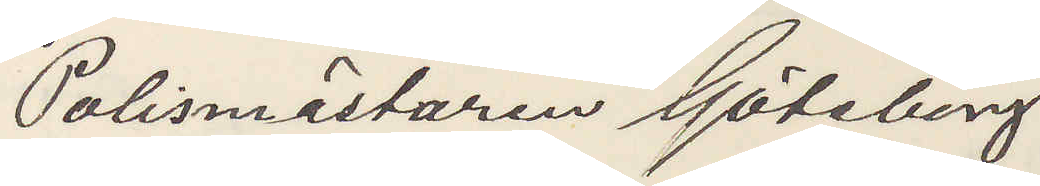Polismästaren Göteborg
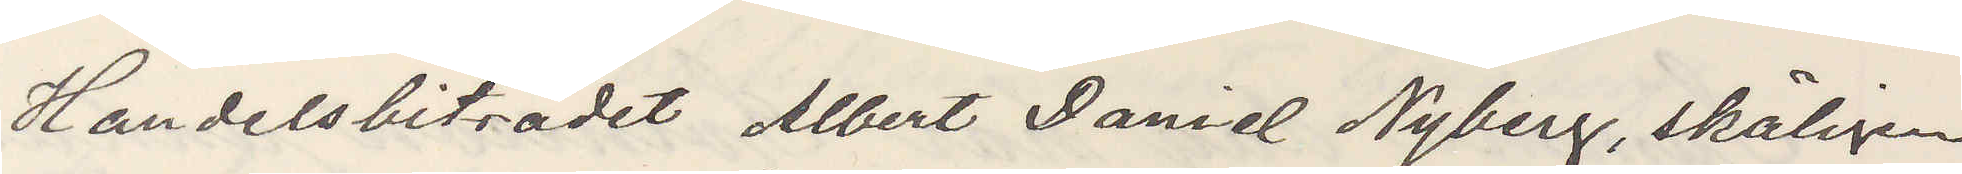Handelsbiträdet Albert Daniel Nyberg, skäligen
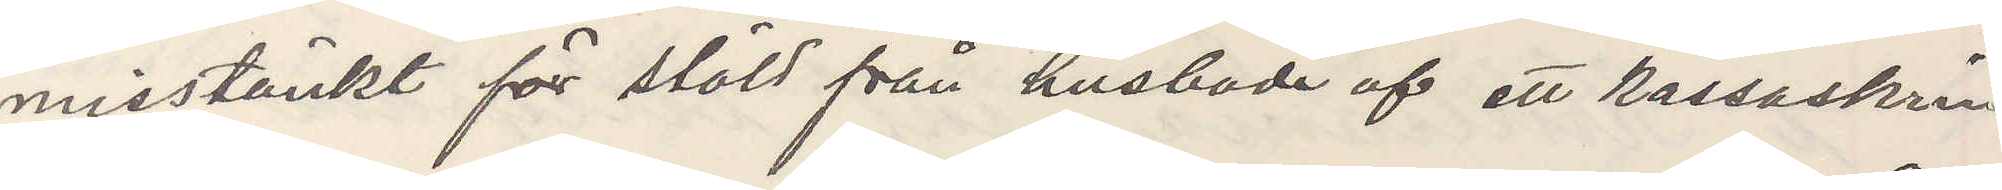misstänkt för stöld från husbonde af ett kassaskrin
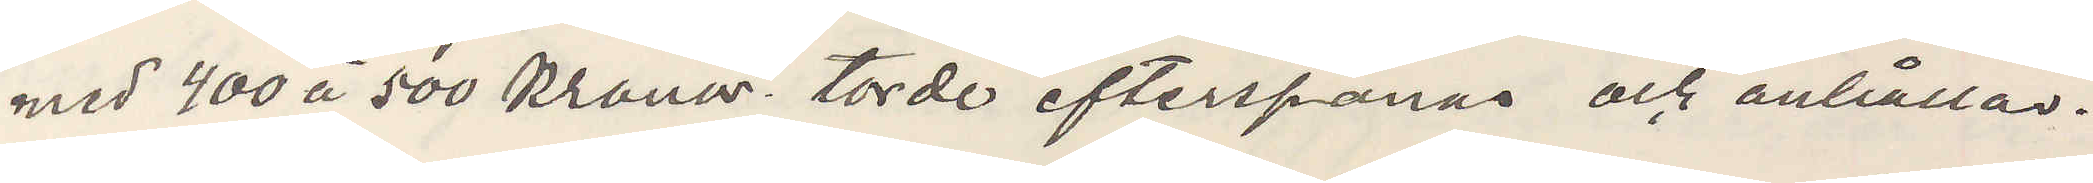med 400 à 500 kronor. torde efterspanas och anhållas.
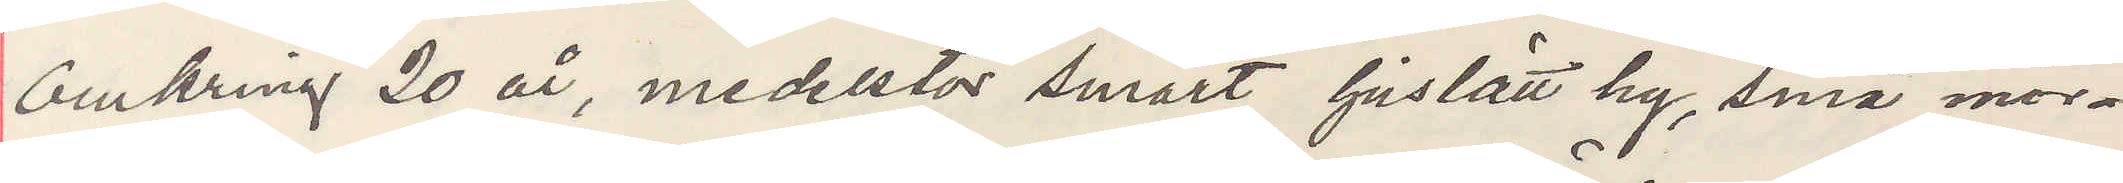Omkring 20 år, medelstor smärt ljuslätt hy, små mör¬
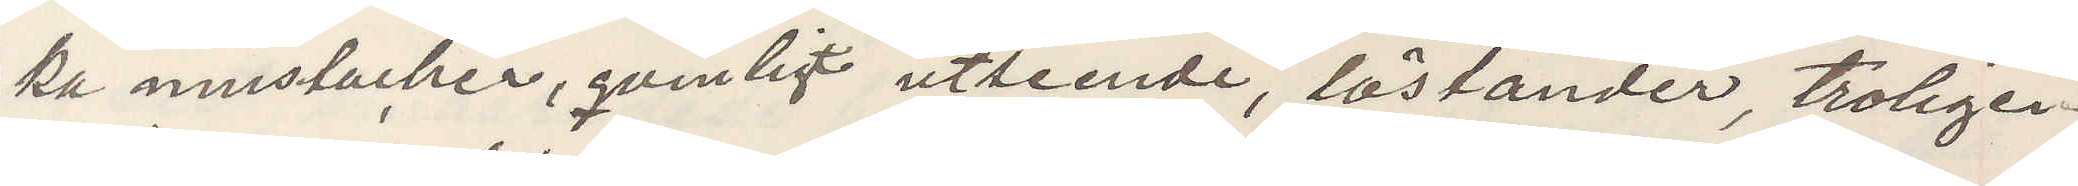ka mustacher, qvinligt utseende, löständer, troligen
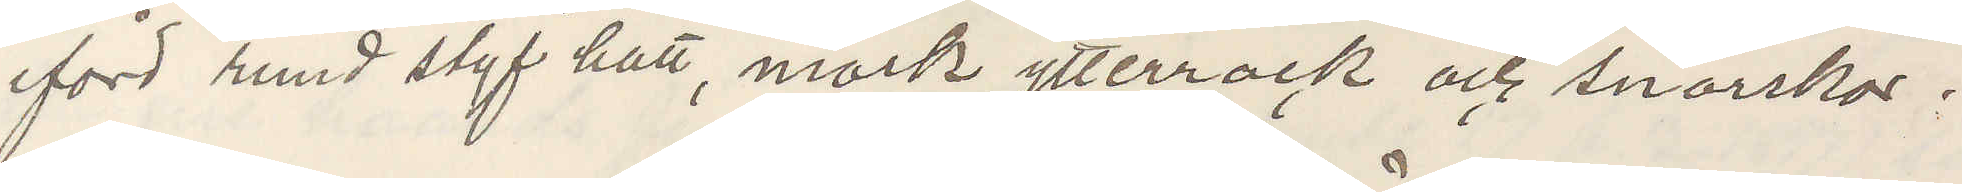iförd rund styf hatt, mörk ytterrock och snörskor.
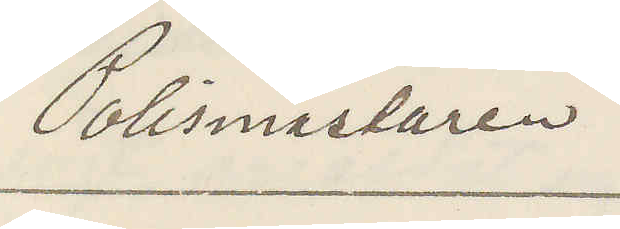Polismästaren
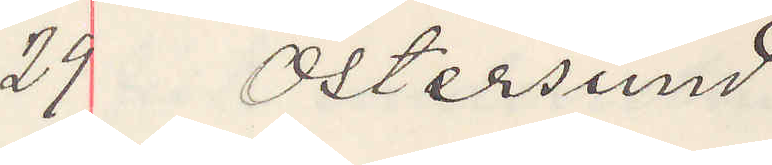29 Östersund
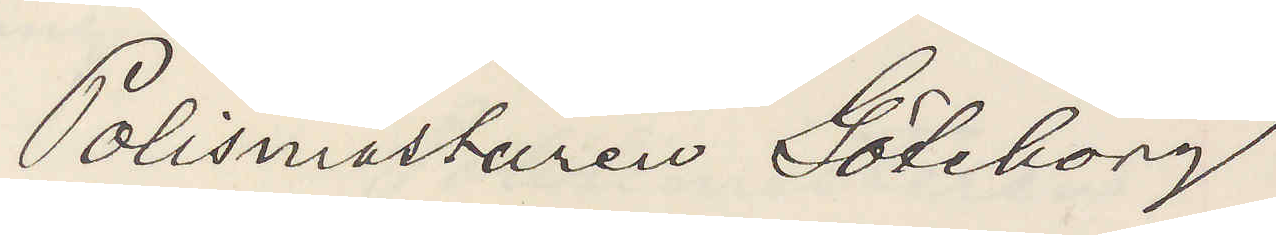Polismästaren Göteborg
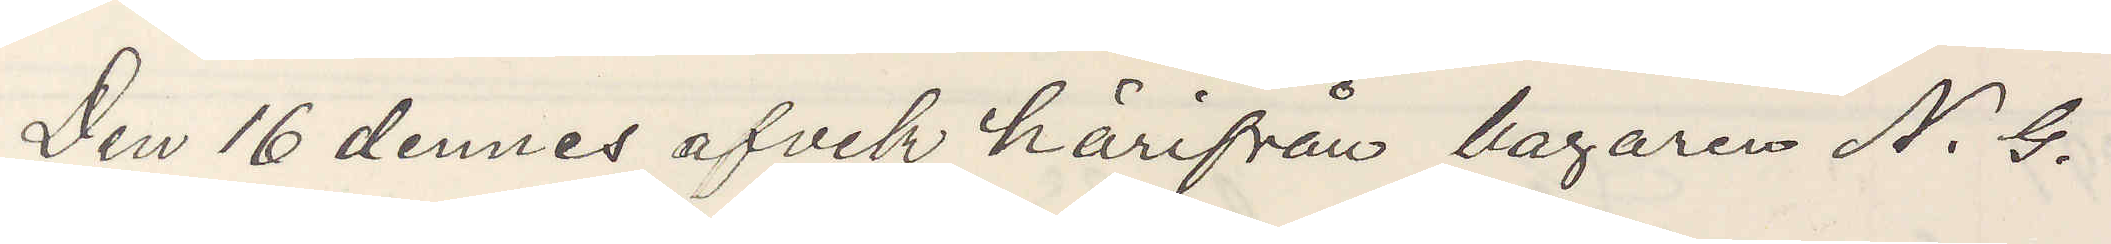Den 16 dennes afvek härifrån bagaren N. G.
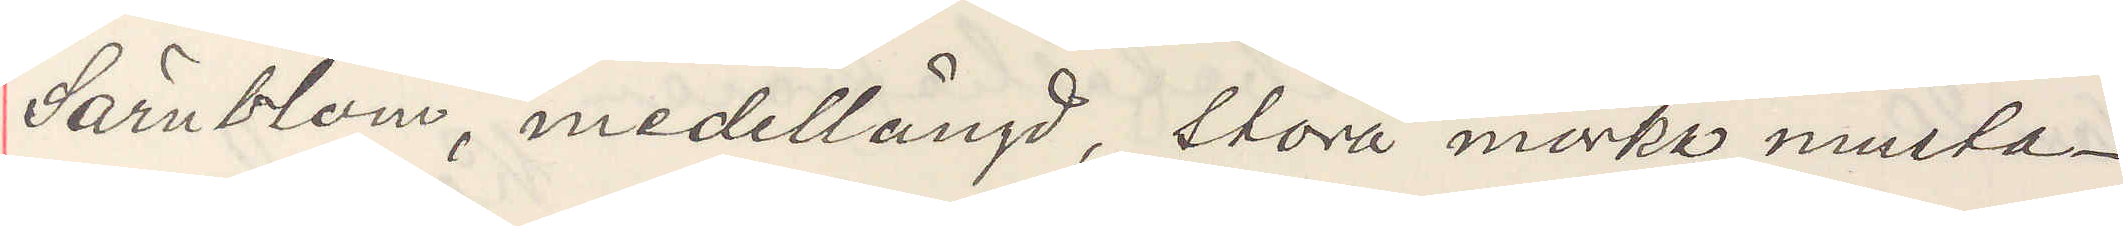Särnblom, medellängd, stora mörka musta¬
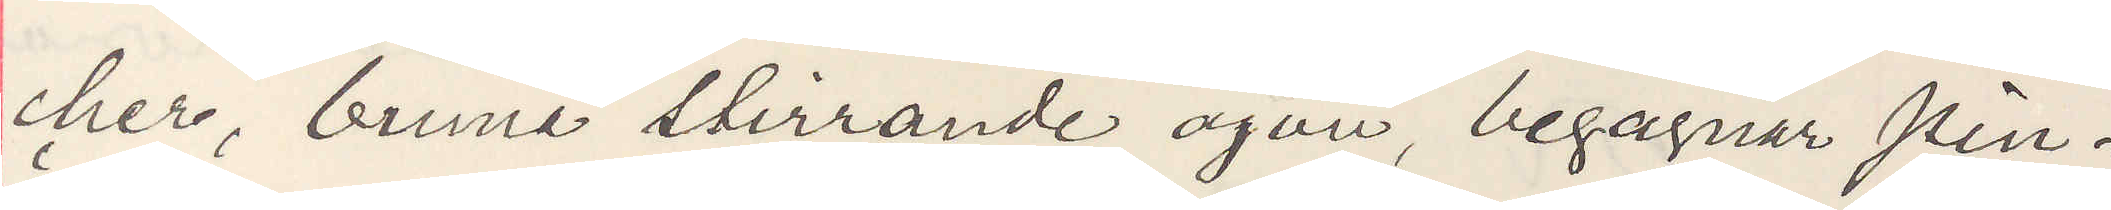cher, bruna stirrande ögon, begagnar pin¬
